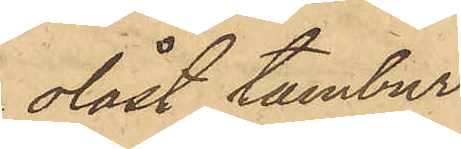olåst tambur
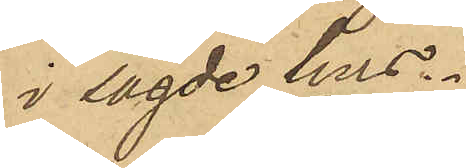i sagde hus.
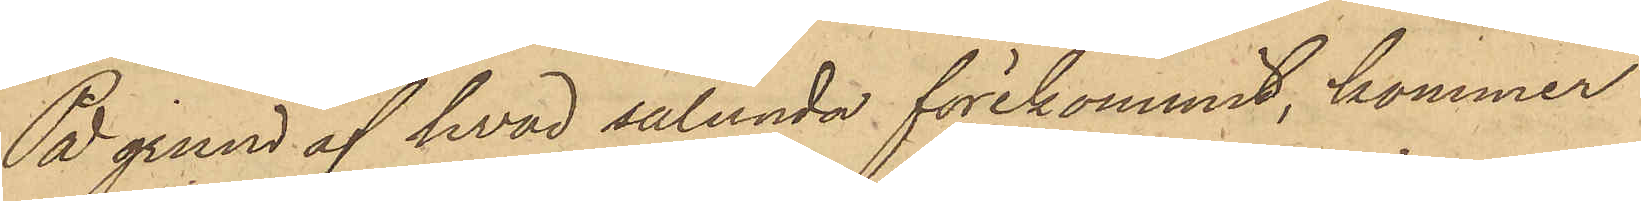På grund af hvad sålunda förekommit, kommer
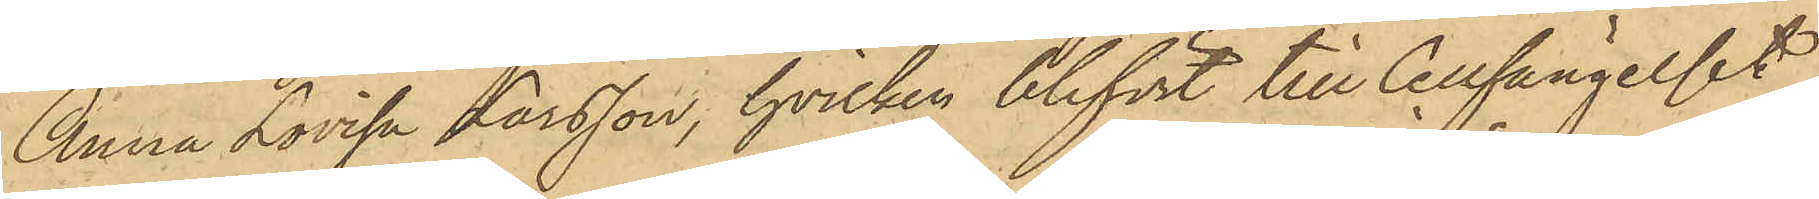Anna Lovisa Larsson, hvilken blifvit till Cellfängelset
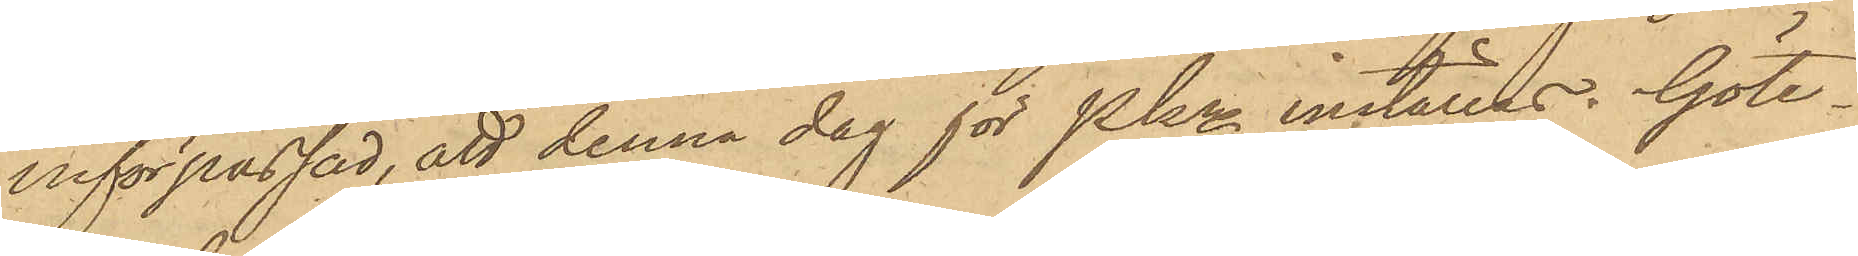införpassad, att denna dag för Pkn inställas. Göte¬
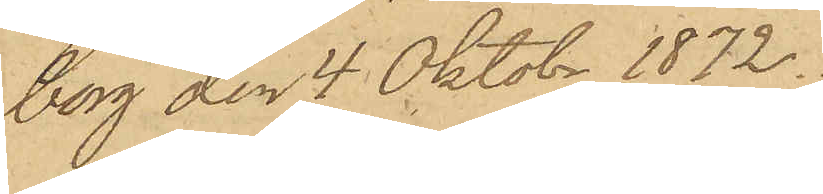borg den 4 Oktobr 1872.
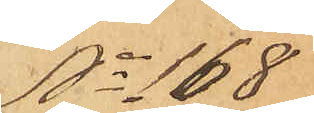No 168
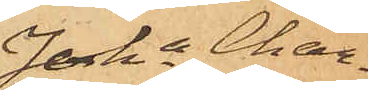Joha Char¬
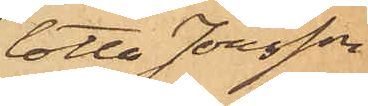lotta Jonsson
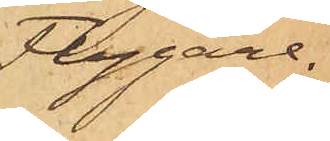Flygare.
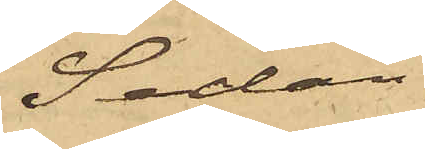Sedan
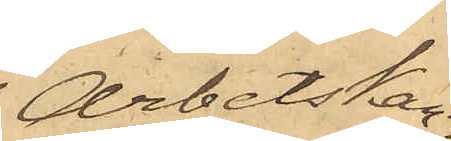Arbetskar¬
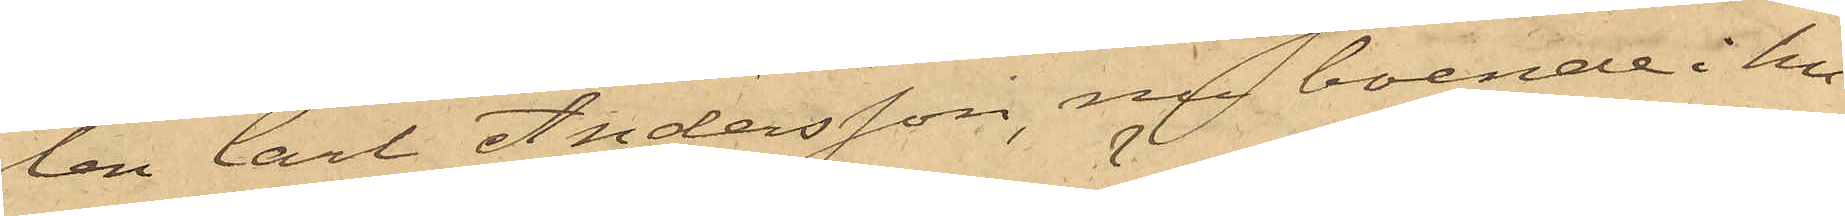len Carl Andersson, nu boende i hu¬
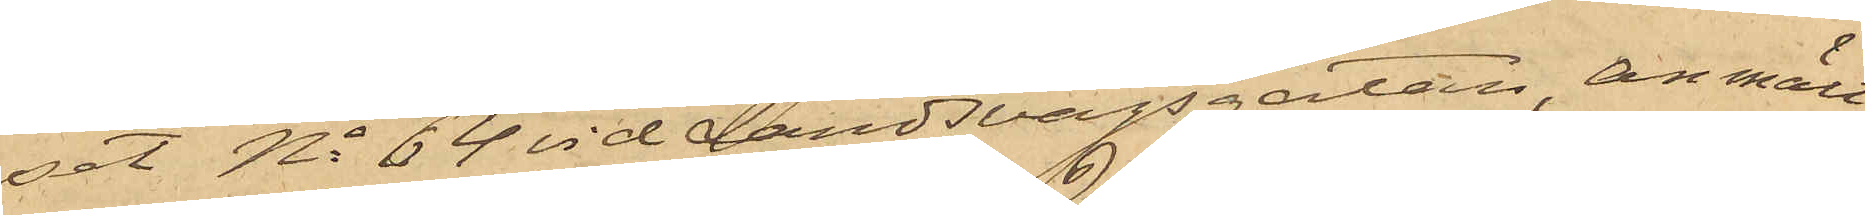set No 64 vid Landsvägsgatan, anmält
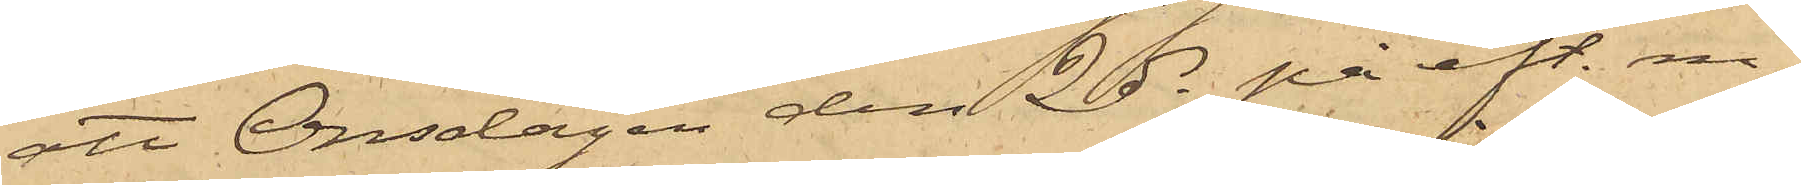att Onsdagen den 2 ds på eft. m,
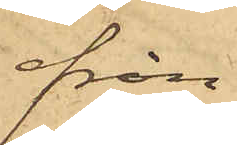från
